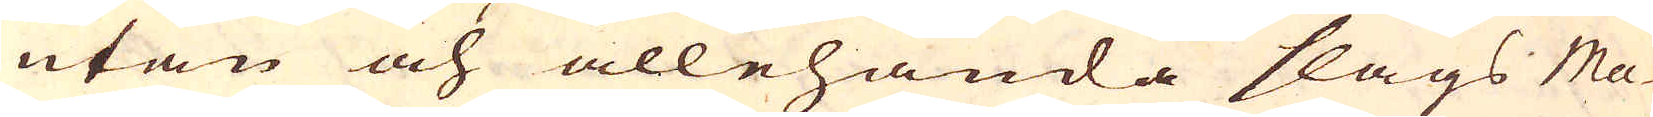utan och allehanda slags Ma-
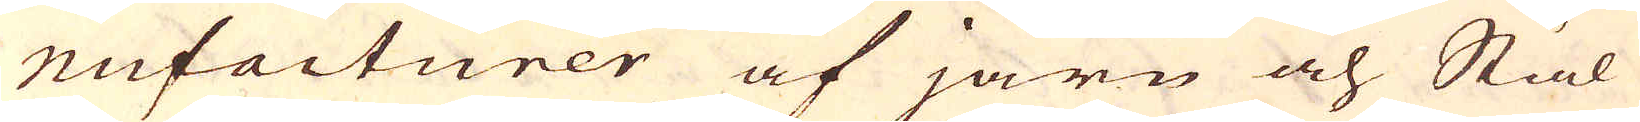nufacturer af järn och Stål
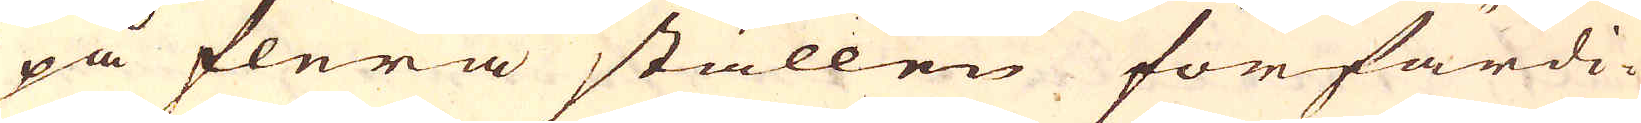på flera ställen förfärdi-
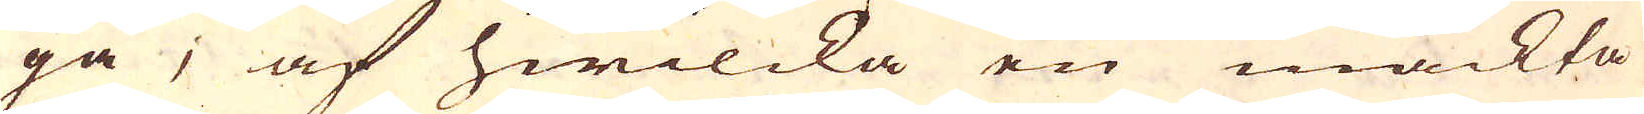ga; af hwilcka en mäckta
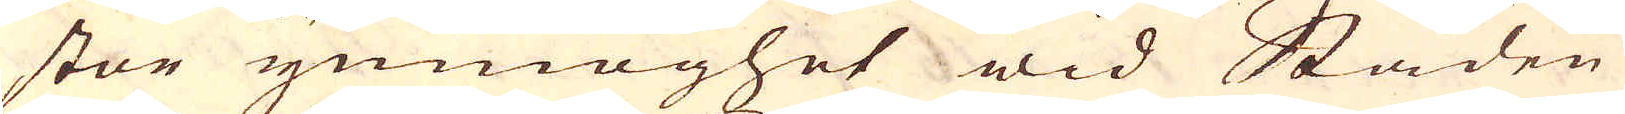stor ymnoghet wid Staden
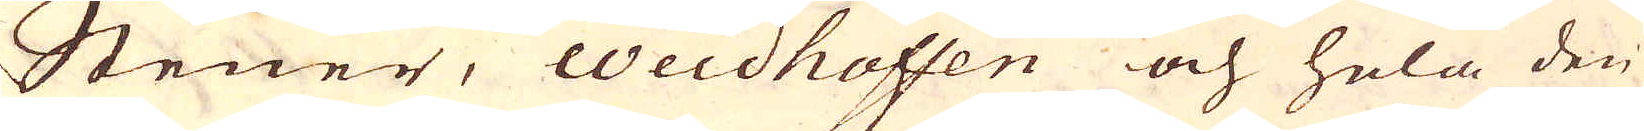Stener, Weidhoffen och hela den
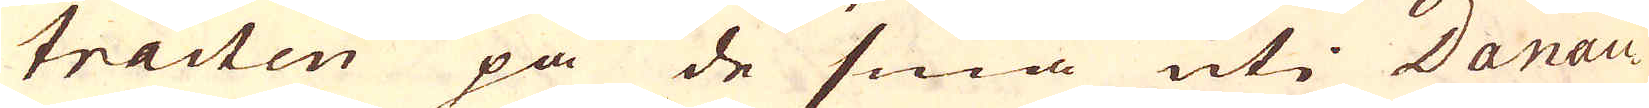tracten på de små uti Danau-
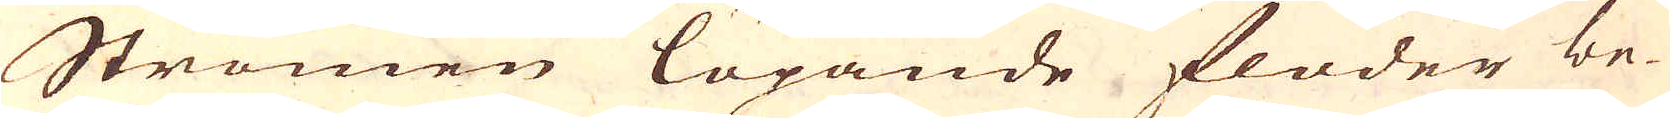Strömen löpande floder be-
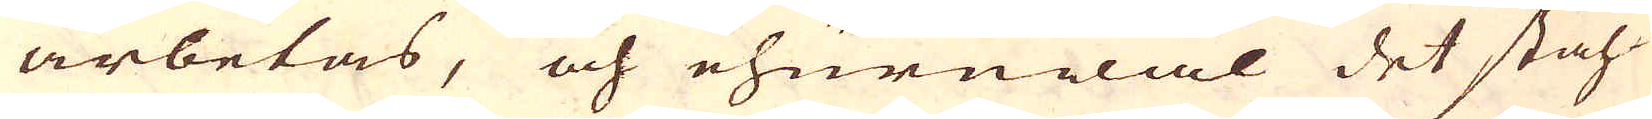arbetas, och ehuruwäl det ståh-
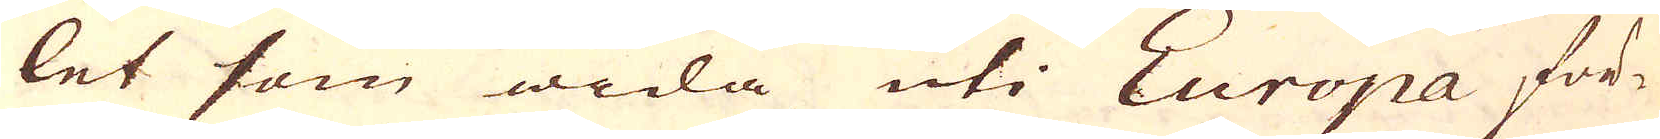let som wida uti Europa för-
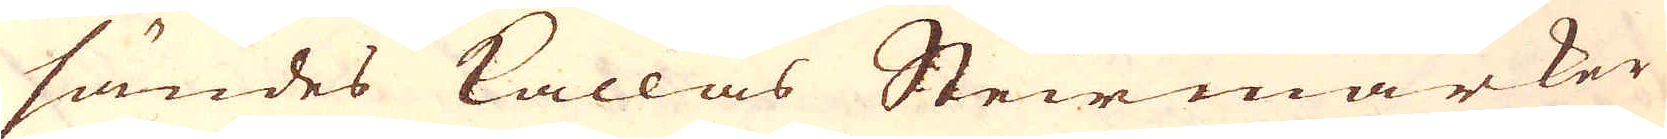sändes kallas Steirmarker
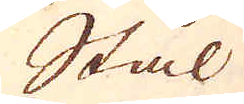Stål
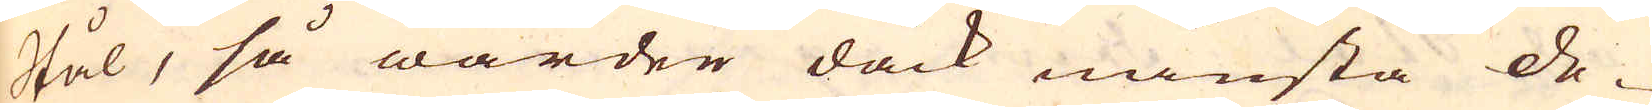Stål, så warder dåck minsta de-
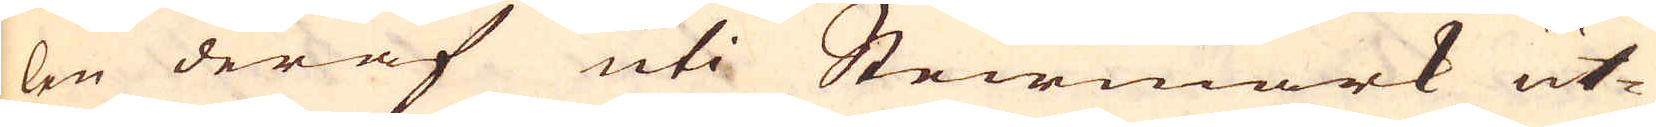len deraf uti Steirmark ut-
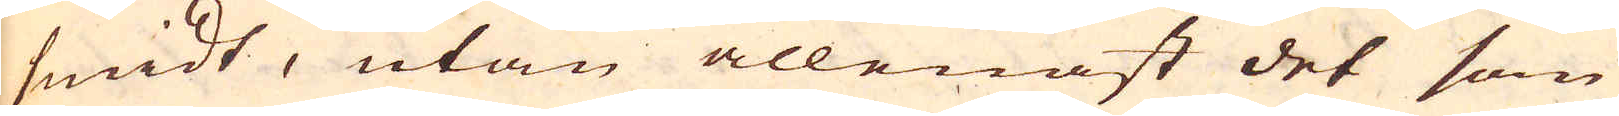smidt, utan allenast det som
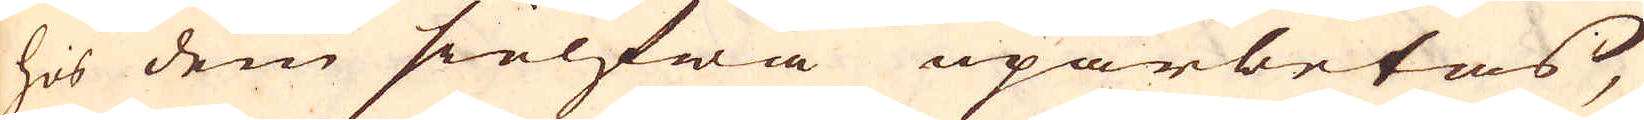hos dem sielfwa uparbetas,
